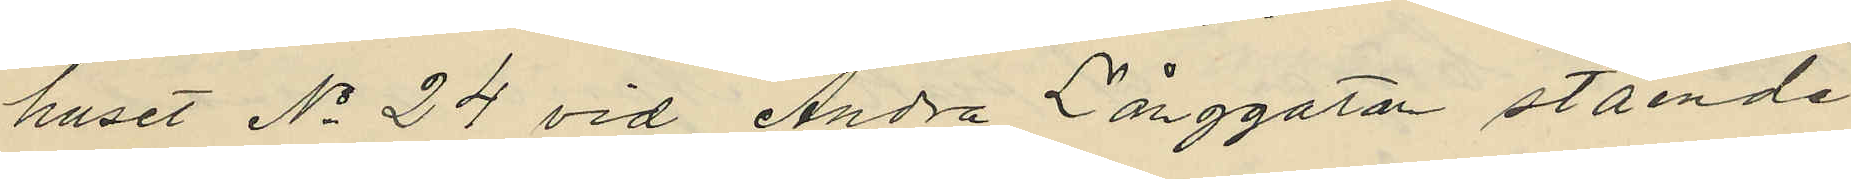huset No 24 vid Andra Långgatan stående
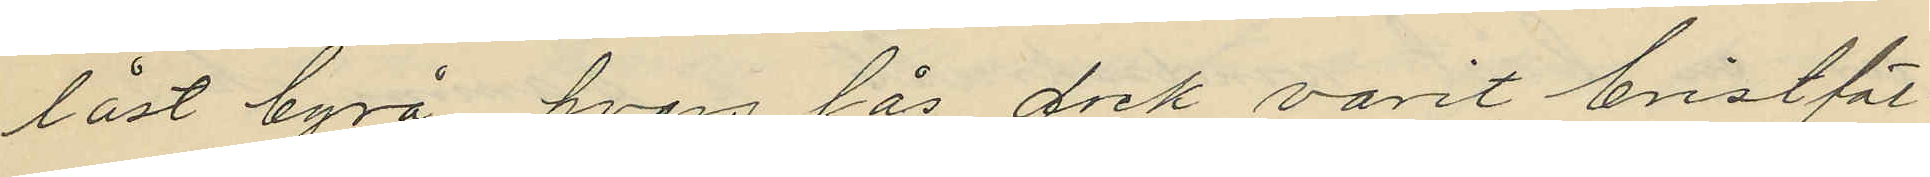låst byrå hvars lås dock varit bristfäl¬
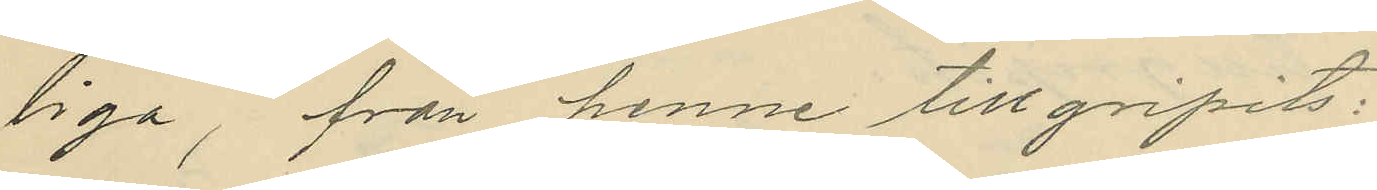liga, från henne tillgripits:
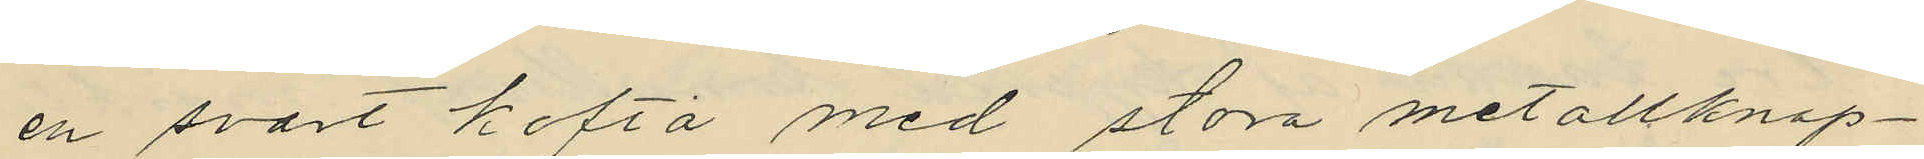en svart kofta med stora metallknap¬
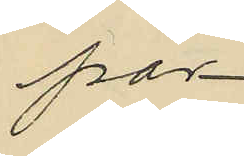par
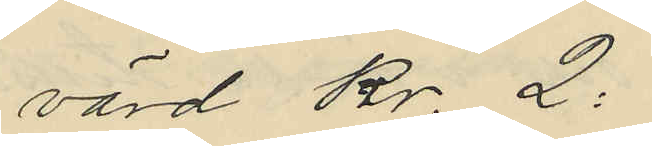värd Kr. 2:
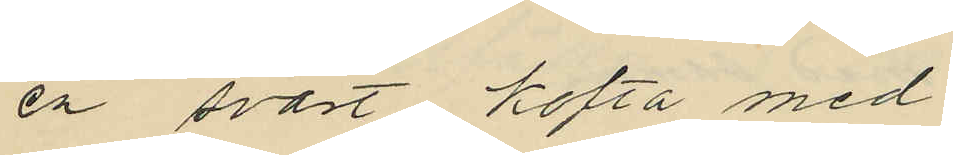en svart kofta med
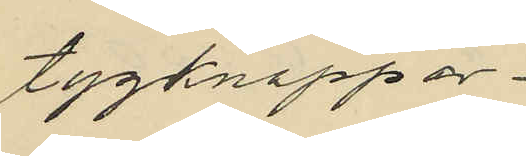tygknappar
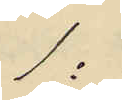1:
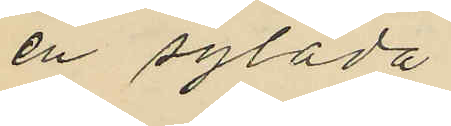en sylåda
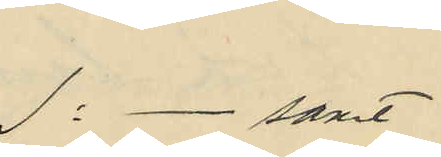1:- samt
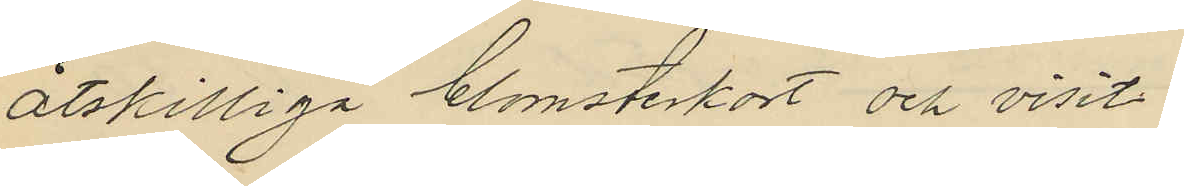åtskilliga blomsterkort och visit¬
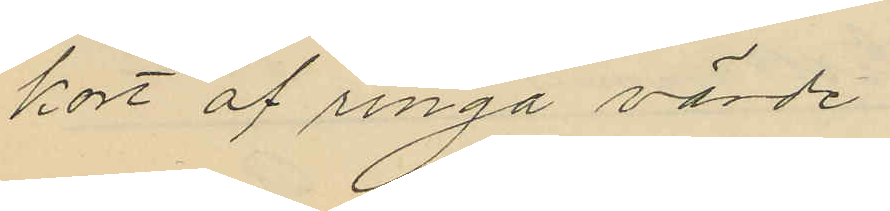kort af ringa värde
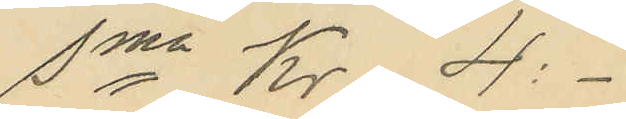Sma Kr 4:-
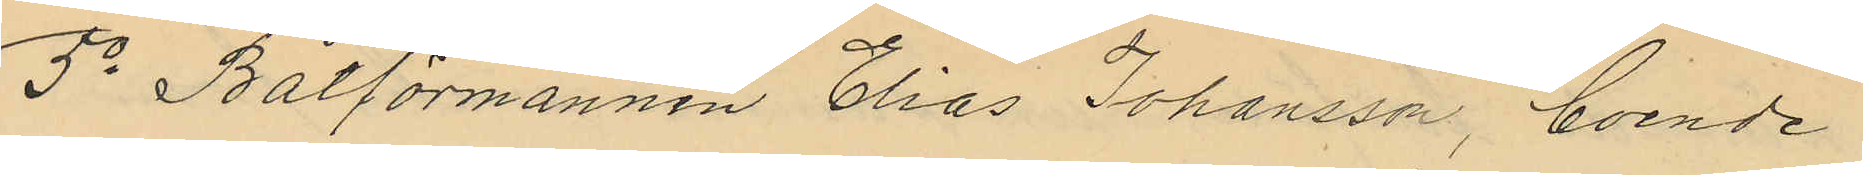5o Båtförmannen Elias Johansson, boende
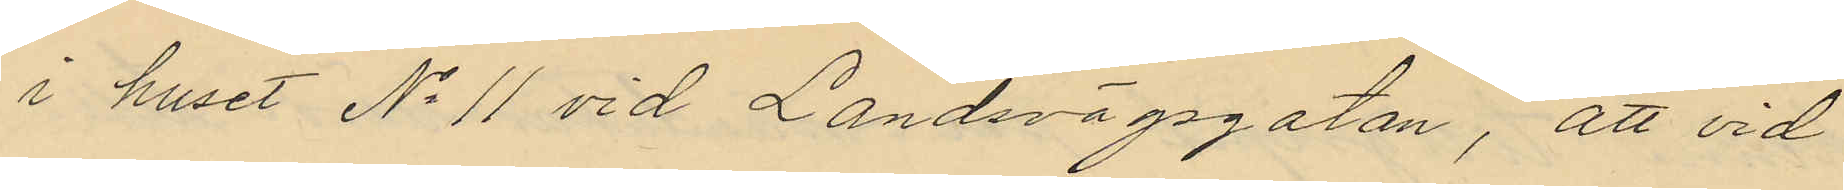i huset No 11 vid Landsvägsgatan, att vid
